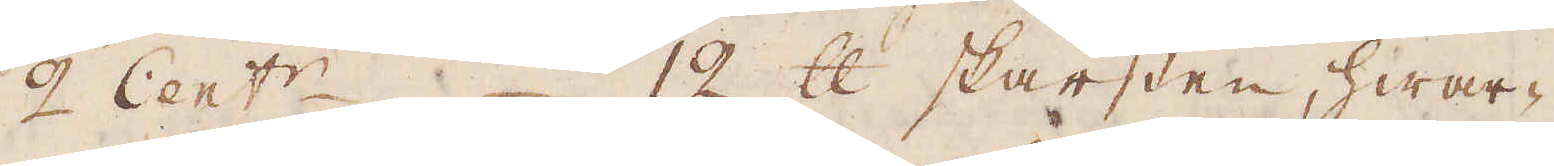2 Cent:r. 12 skålpund skärsten, hwar-
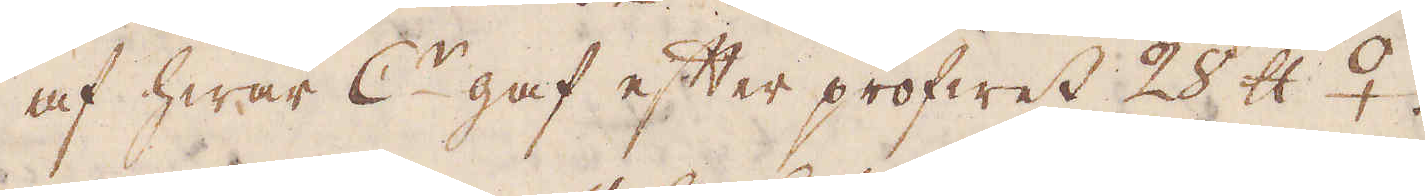af hwar C:r gaf efter profwet 28 skålpund ♀.
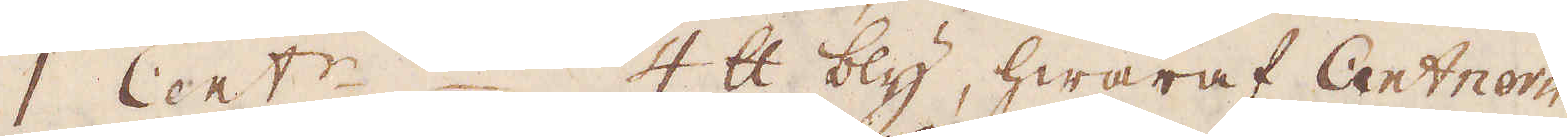1 Cent:r 4 skålpund bly, hwaraf Centnern
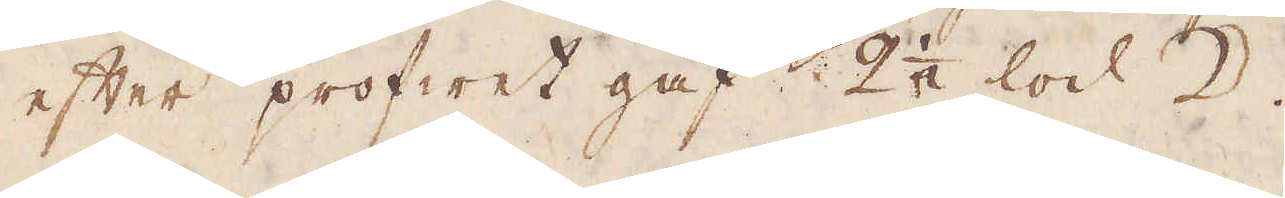efter profwet gaf. 2 1/2 lod ☽.
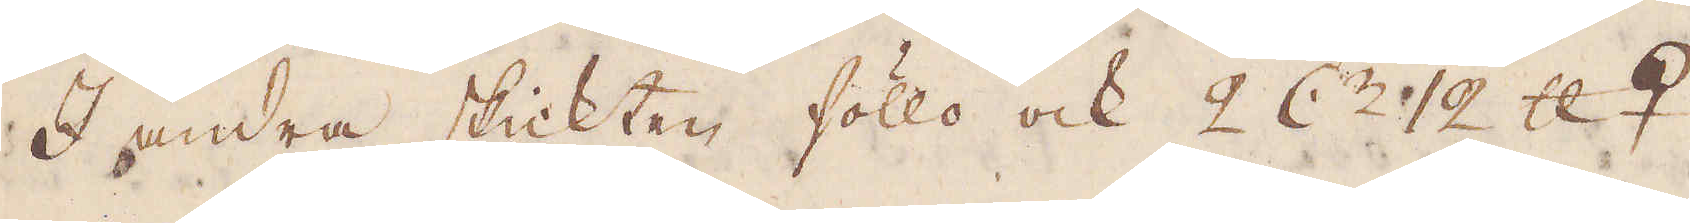I andra skickten föllo ock 2 C:r 12 skålpund ♀.
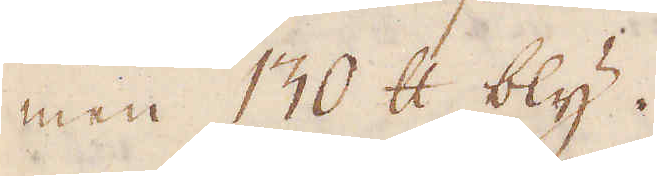men 130 skålpund bly.
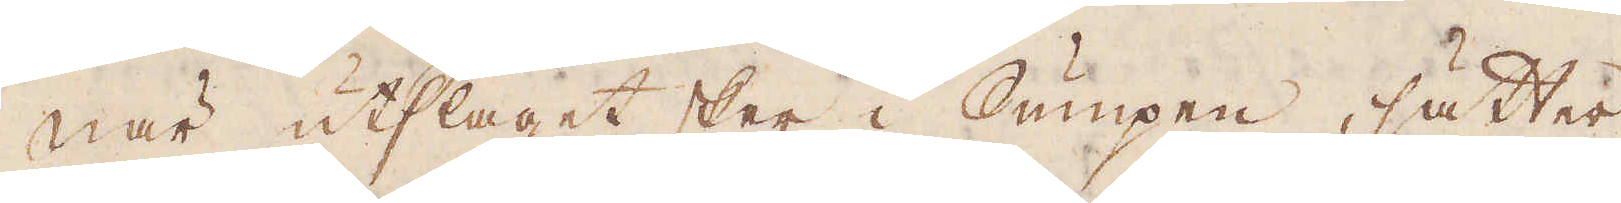När utslaget sker i Sumpen, sätter
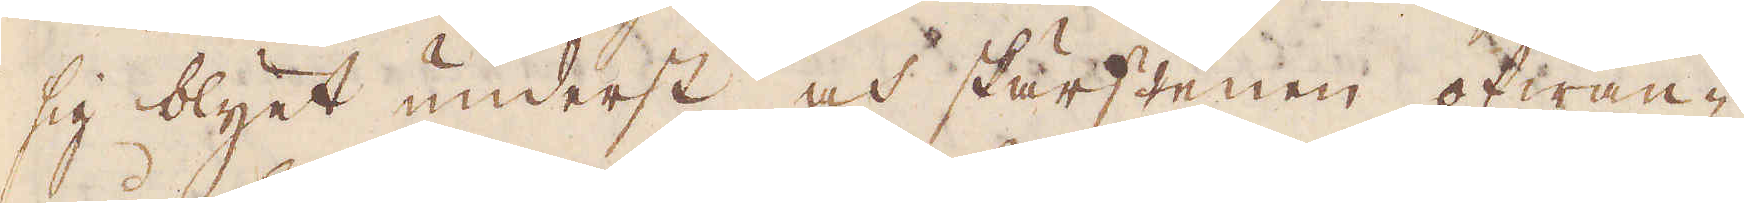sig blyet underst och skärstenen ofwan-
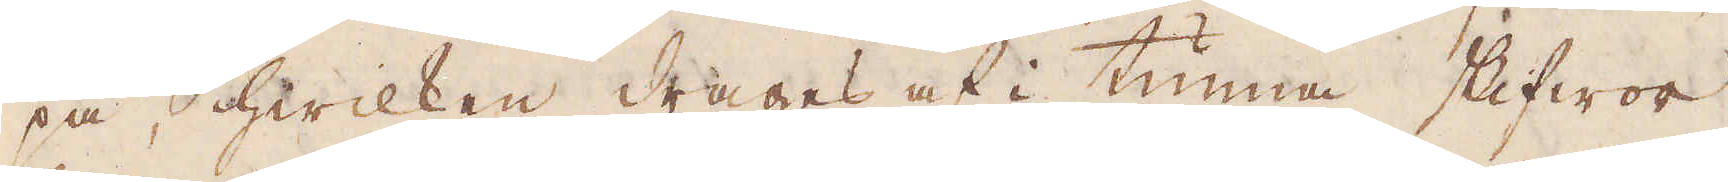på, hwilken drages af i tunna skifwor
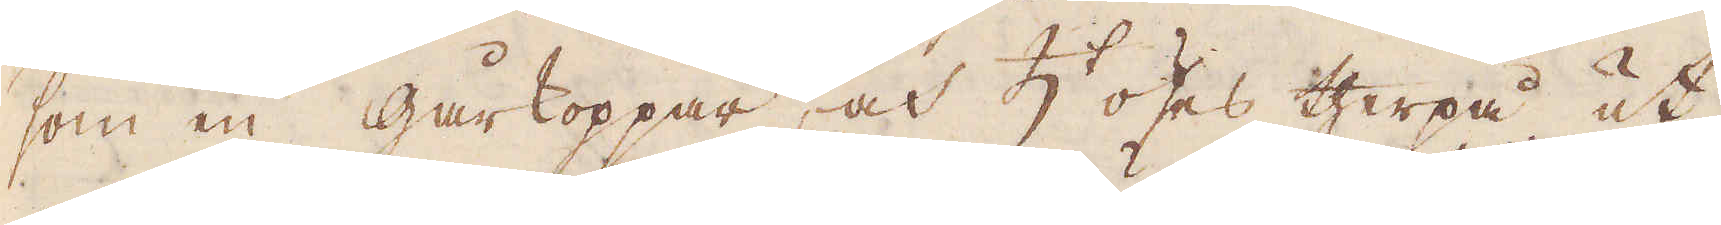som en gårkoppar, och ♄ öses therpå ut
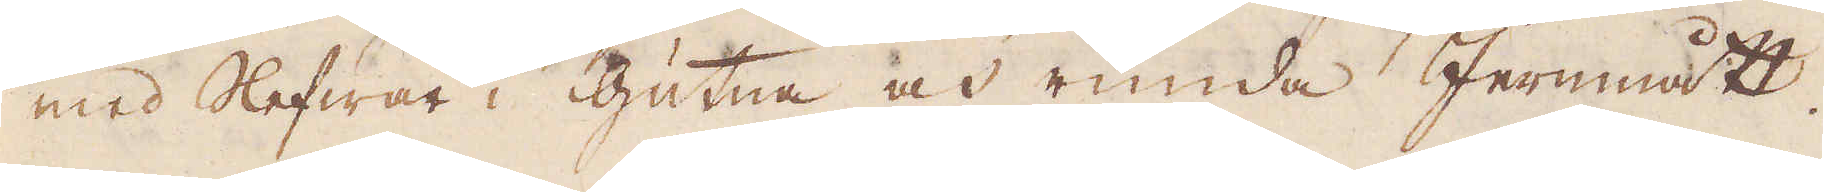med slefwar i gutna och runda Jernmått.
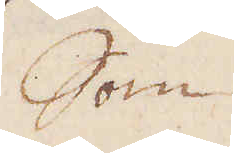Som
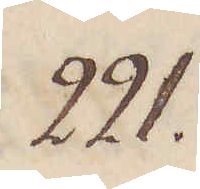221.
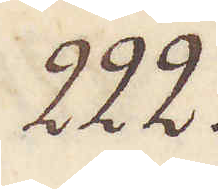222.
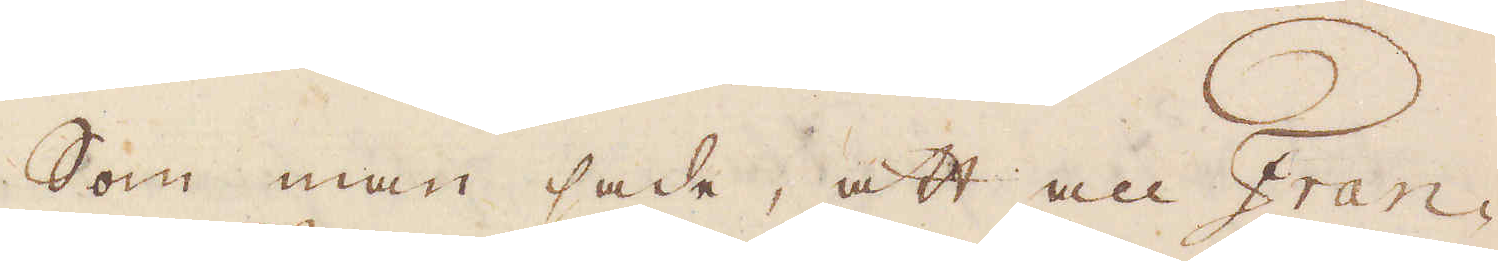Som man sade, att all Fran-
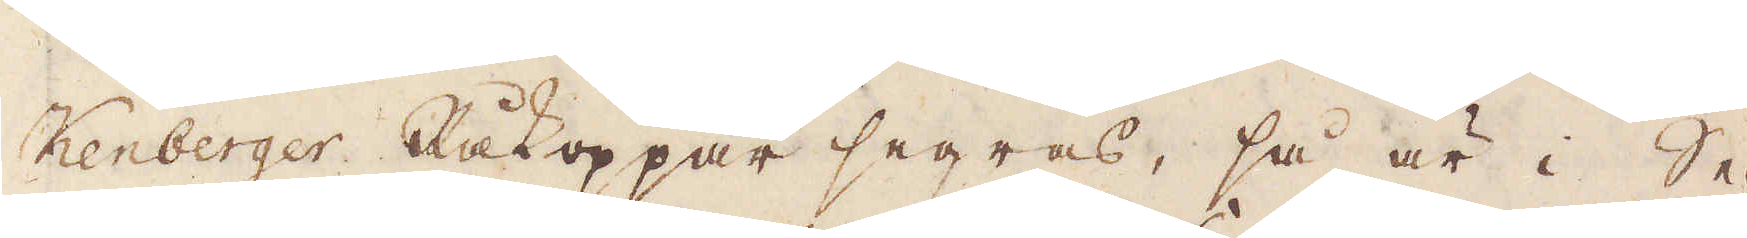kenberger Råkoppar segras, så är i Se-
